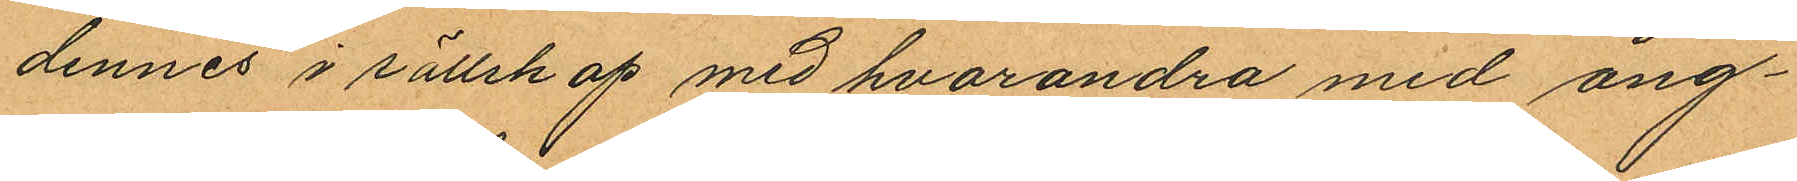dennes i sällskap med hvarandra med ång¬
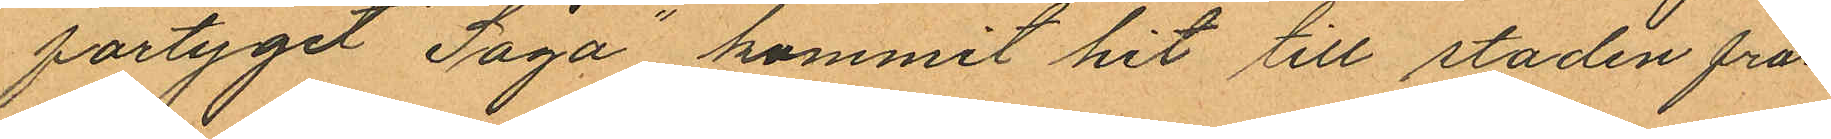fartyget "Saga" kommit hit till staden från
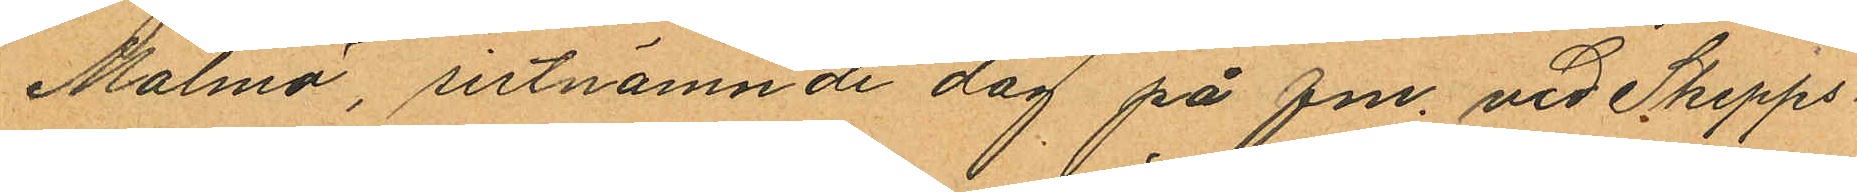Malmö, sistnämnde dag på f m vid Skepps¬
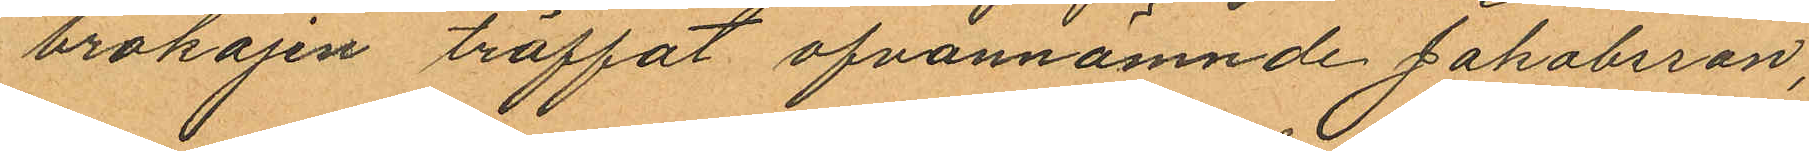brokajen träffat ofvannämnde Jakobsson,
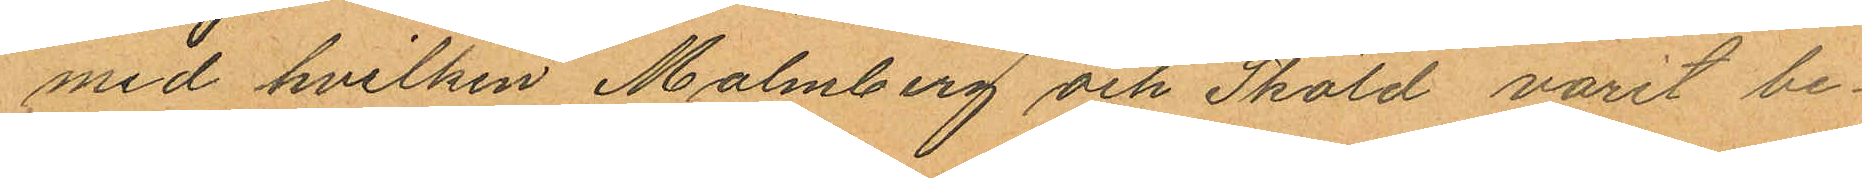med hvilken Malmberg och Sköld varit be¬
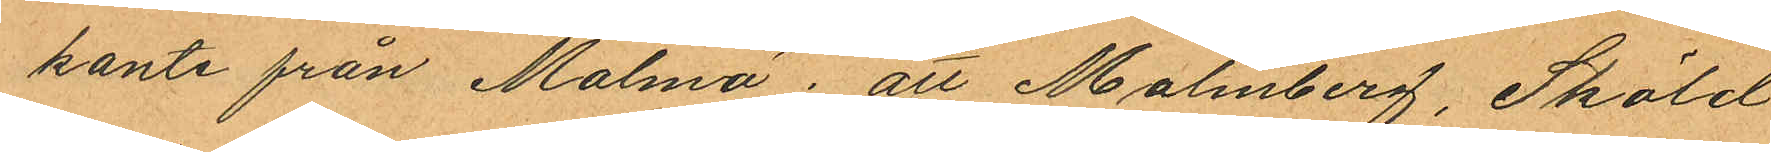kante från Malmö; att Malmberg, Sköld
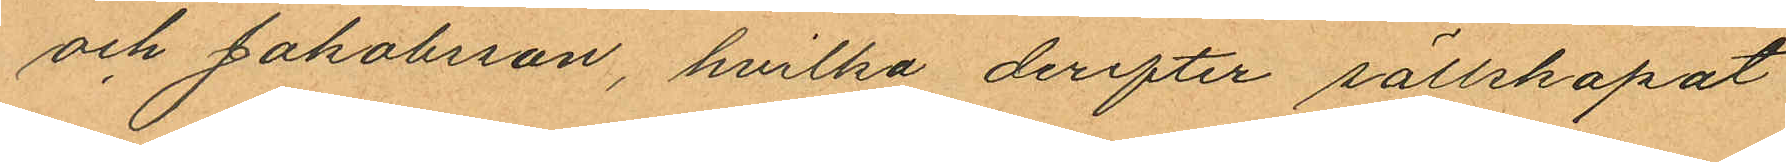och Jakobsson, hvilka derefter sällskapat
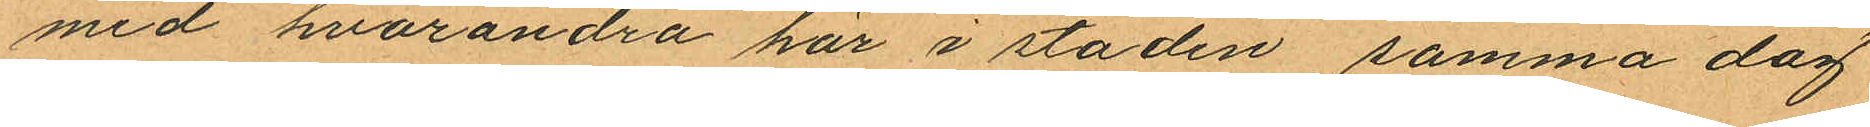med hvarandra här i staden samma dag
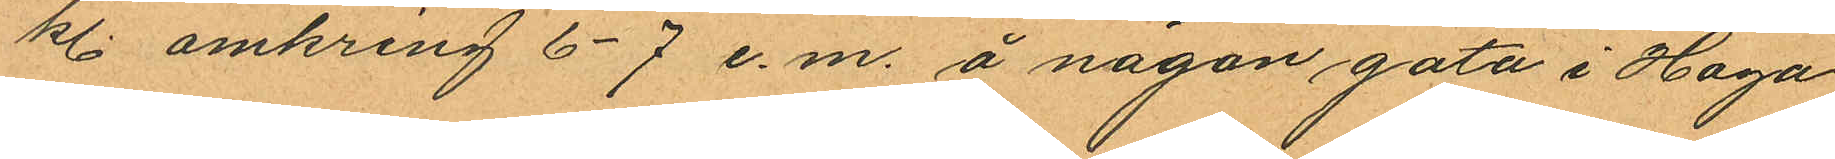kl. omkring 6-7 e.m. å någon gata i Haga
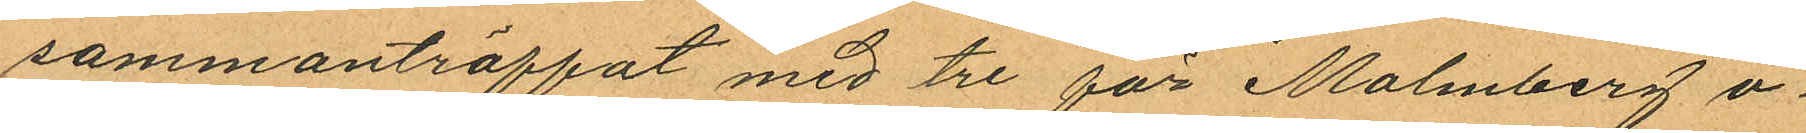sammanträffat med tre för Malmberg o¬
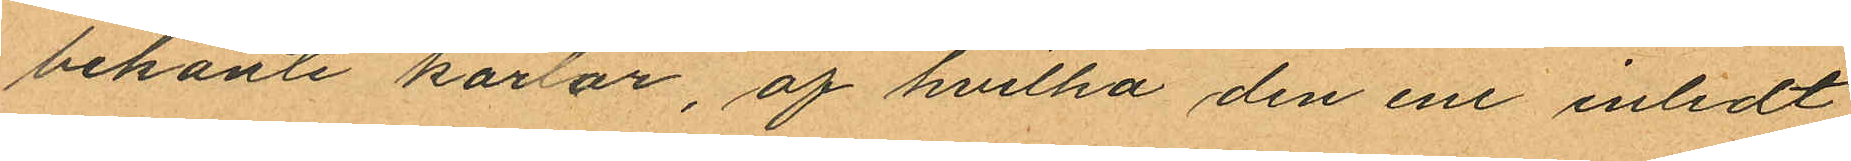bekante karlar, af hvilka den ene inledt
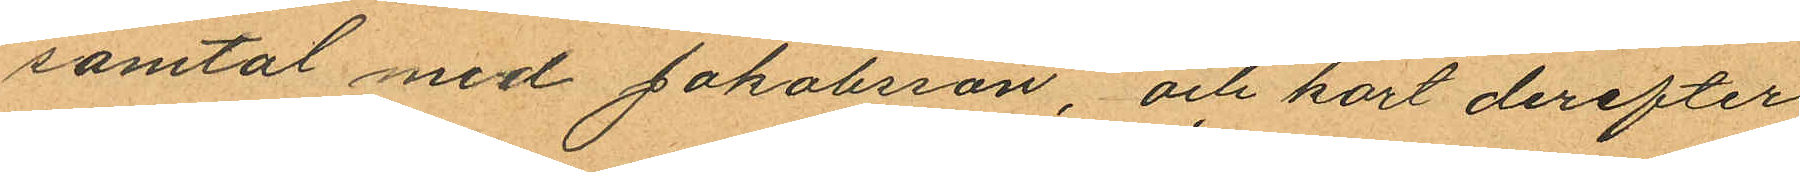samtal med Jakobsson, och kort derefter
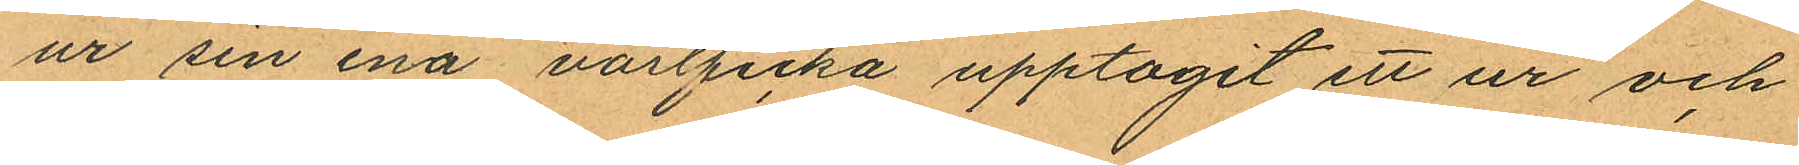ur sin ena västficka upptagit ett ur och
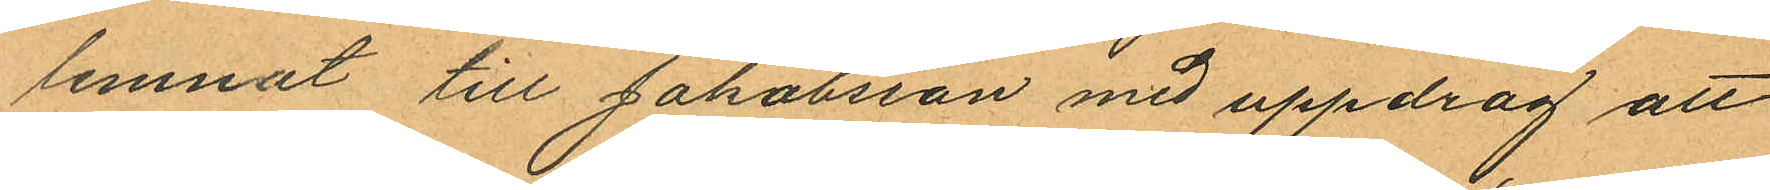lemnat till Jakobsson med uppdrag att
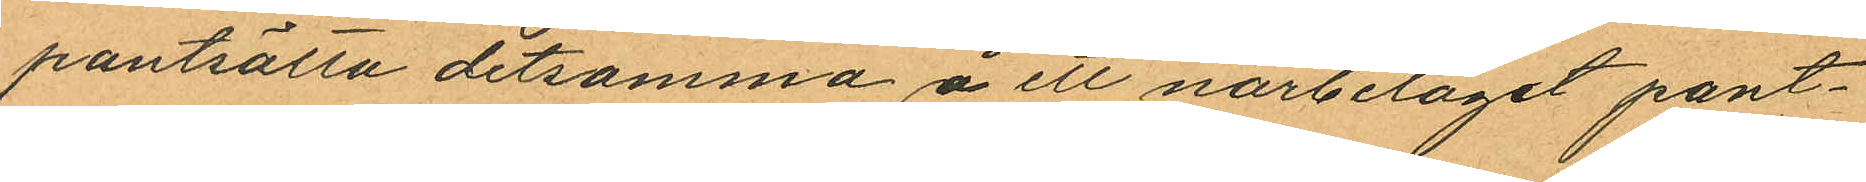pantsätta detsamma å ett närbelaget pant¬
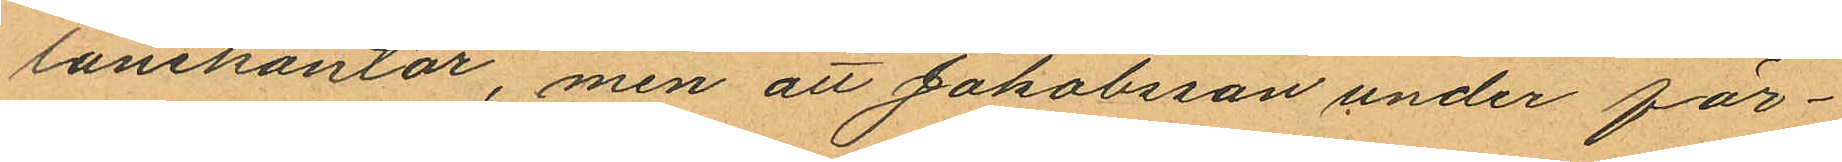lånekontor, men att Jakobsson under för¬
